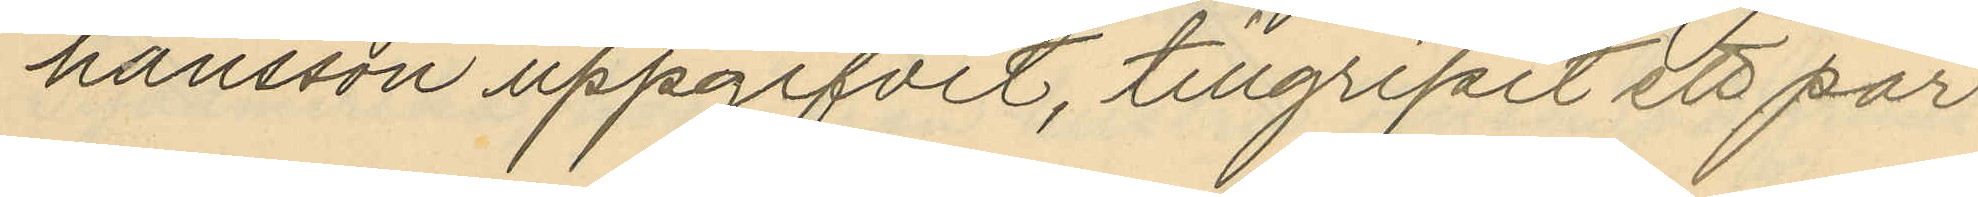hansson uppgifvit, tillgripit ett par
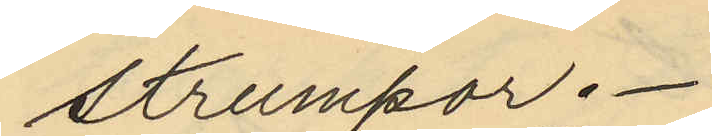strumpor.
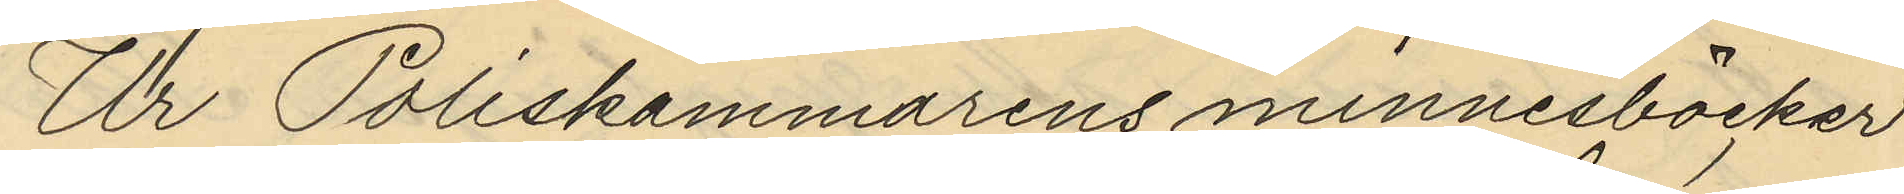Ur Poliskammarens minnesböcker
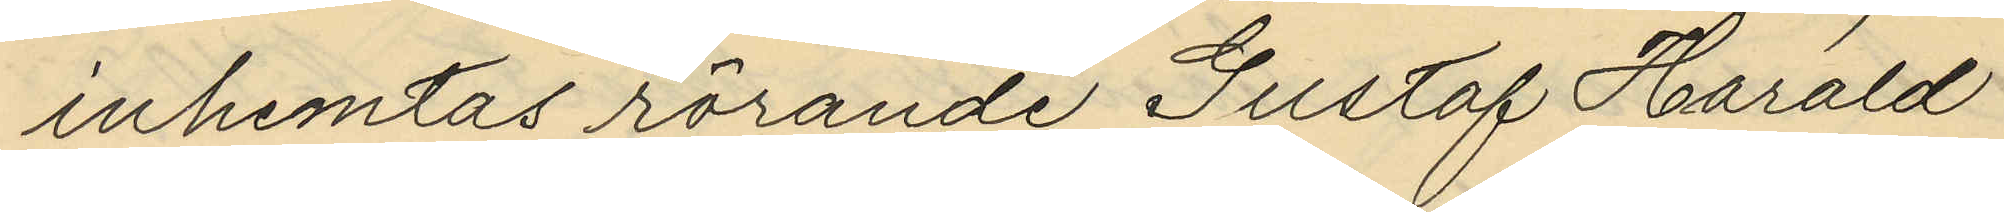inhemtas rörande Gustaf Harald
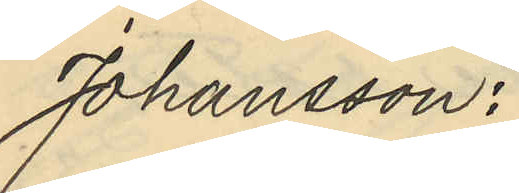Johansson:
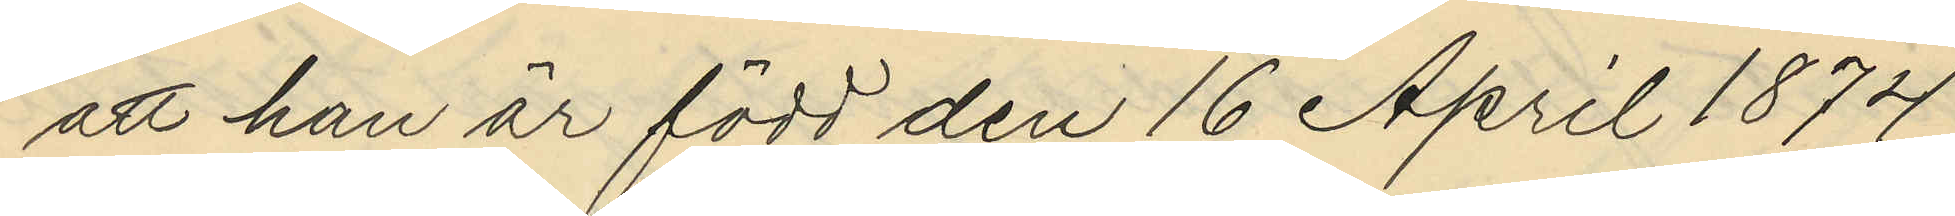att han är född den 16 April 1874
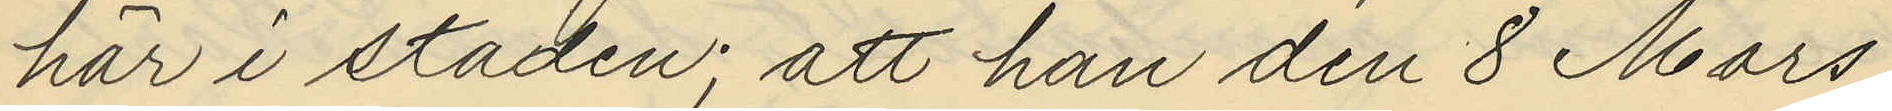här i staden; att han den 8 Mars
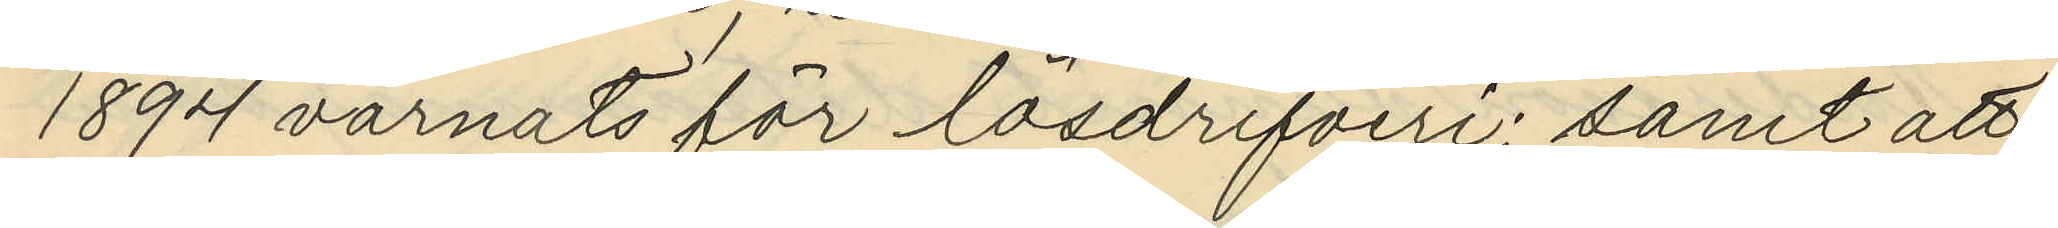1894 varnats för lösdrifveri; samt att
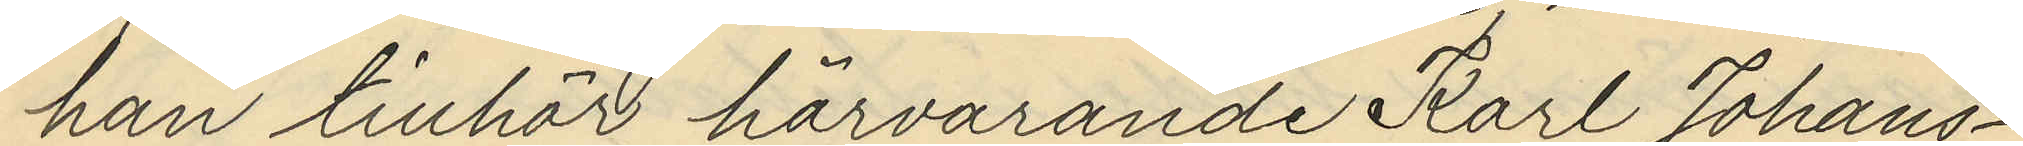han tillhör härvarande Karl Johans¬
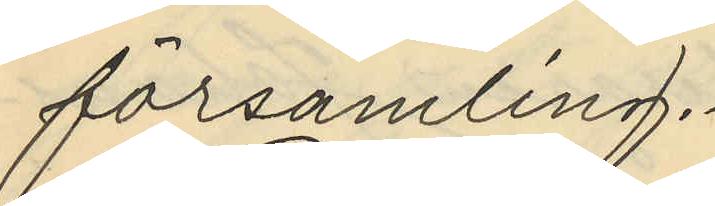församling.
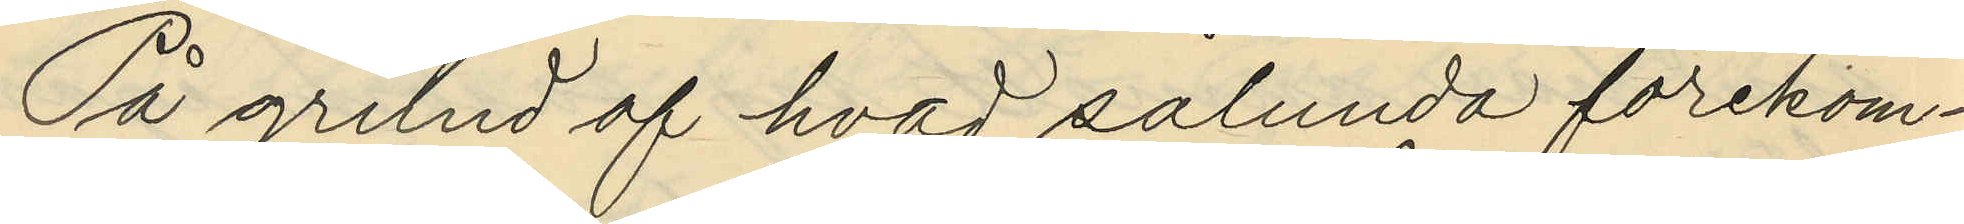På grund af hvad sålunda förekom¬
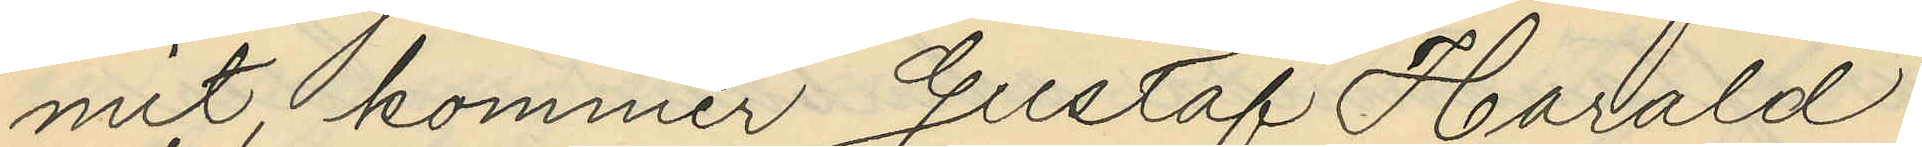mit kommer Gustaf Harald
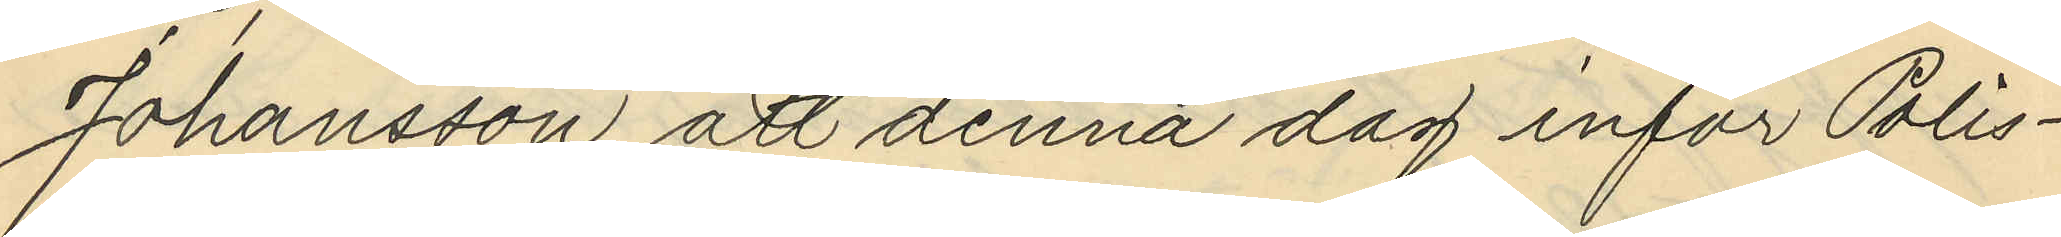Johansson att denna dag inför Polis¬
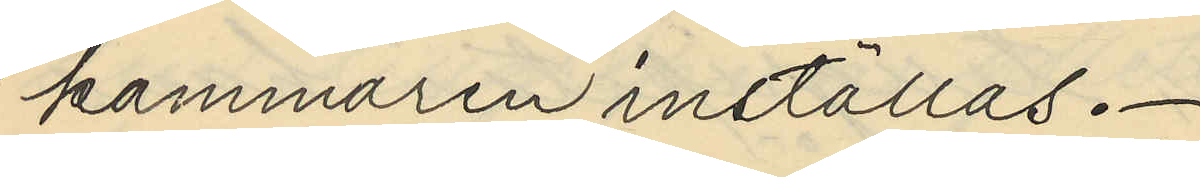kammaren inställas.
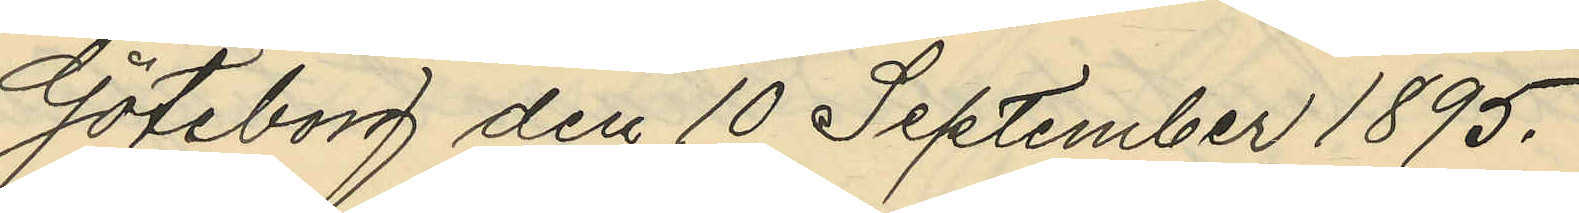Göteborg den 10 September 1895.
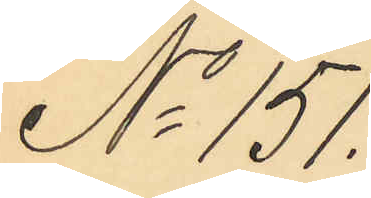No 151.
